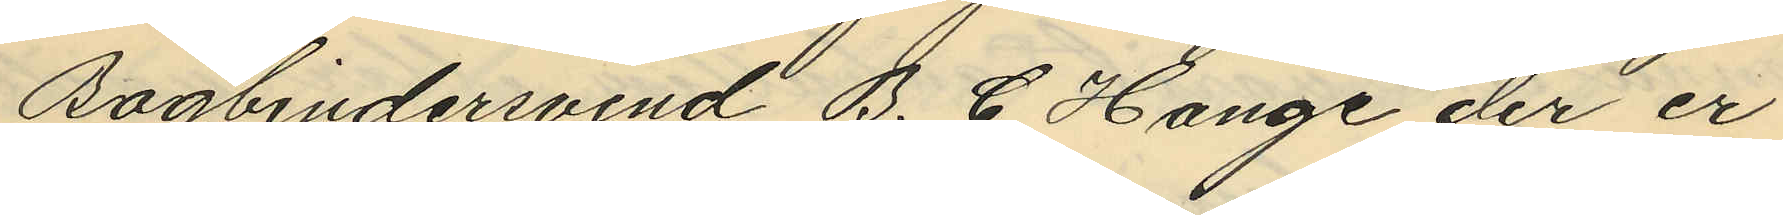Bogbindersvend B. C. Hange der er
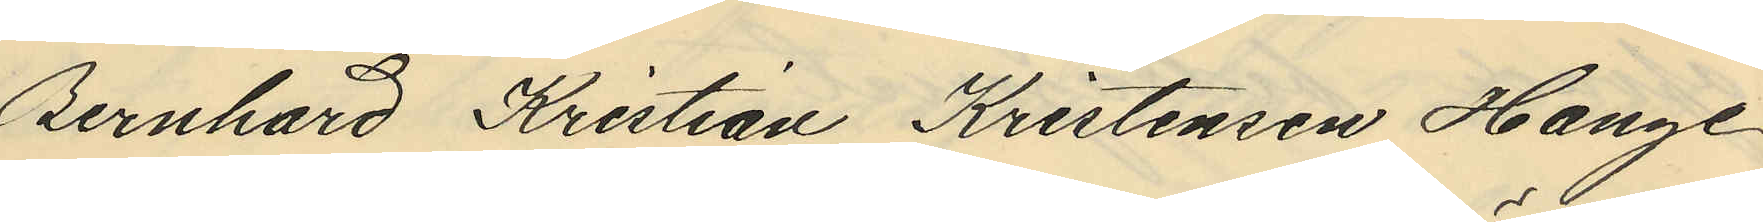Bernhard Kristian Kristensen Hange
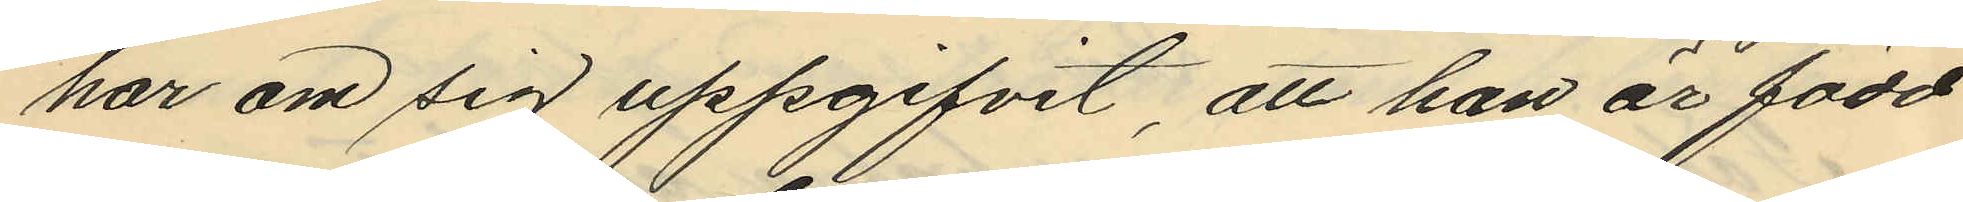har om sig uppgifvit, att han är född
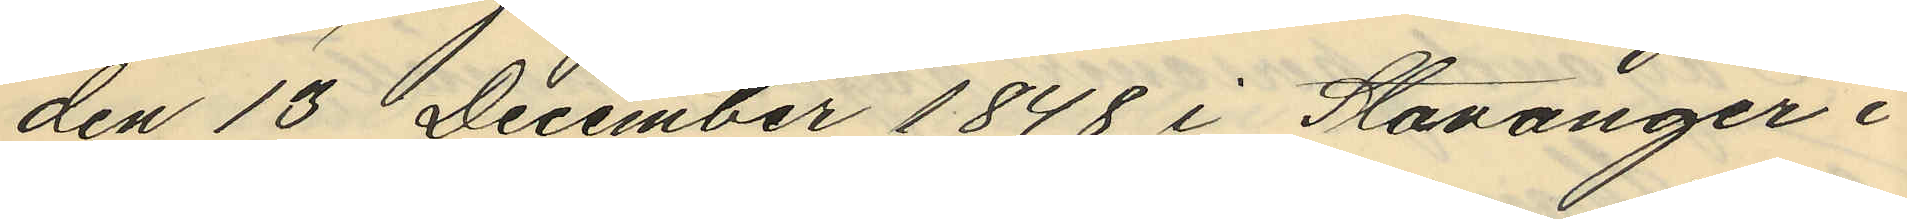den 13 December 1848 i Stavanger i
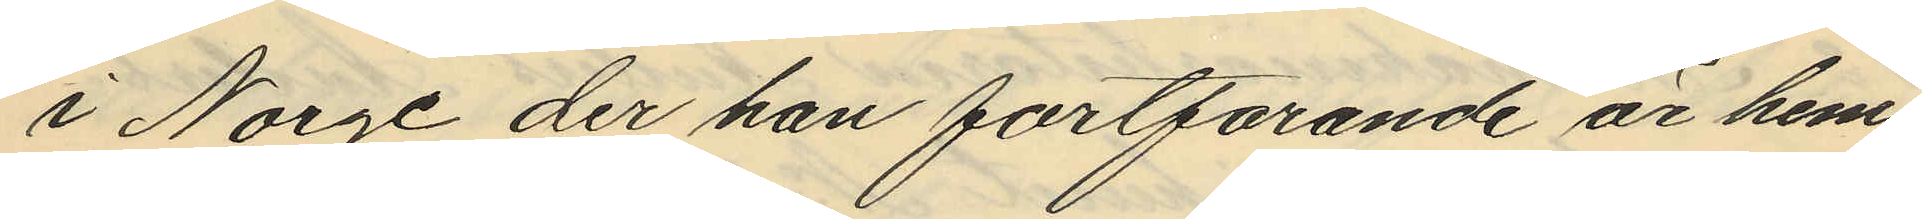i Norge der han fortfarande är hem¬
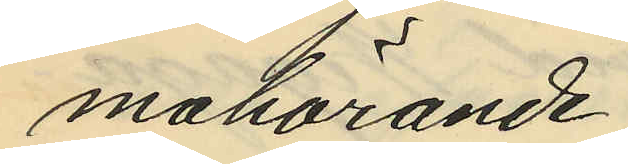mahörande.
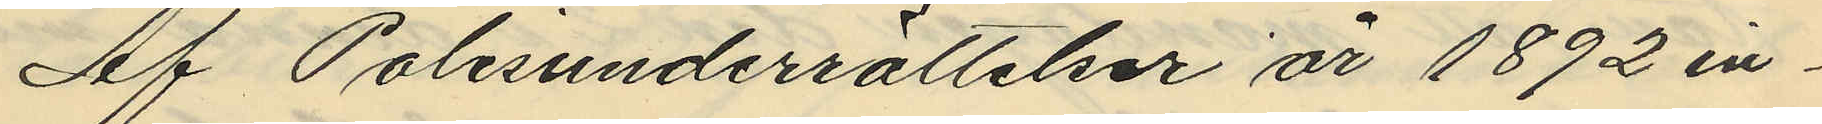Af Polisunderrättelser år 1892 in¬
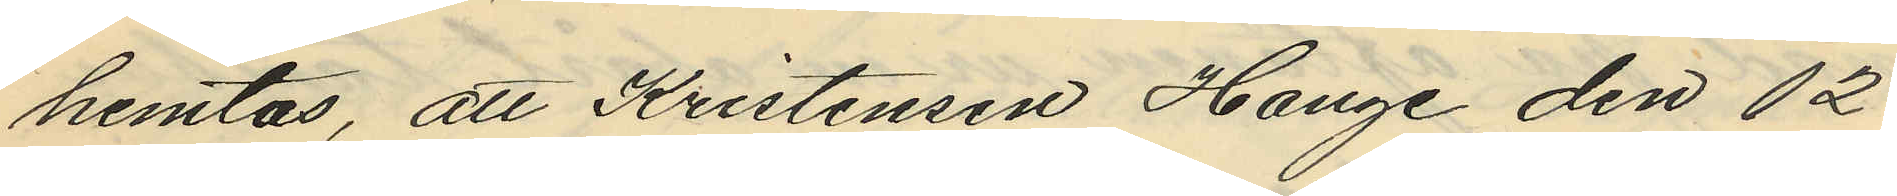hemtas, att Kristensen Hange den 12
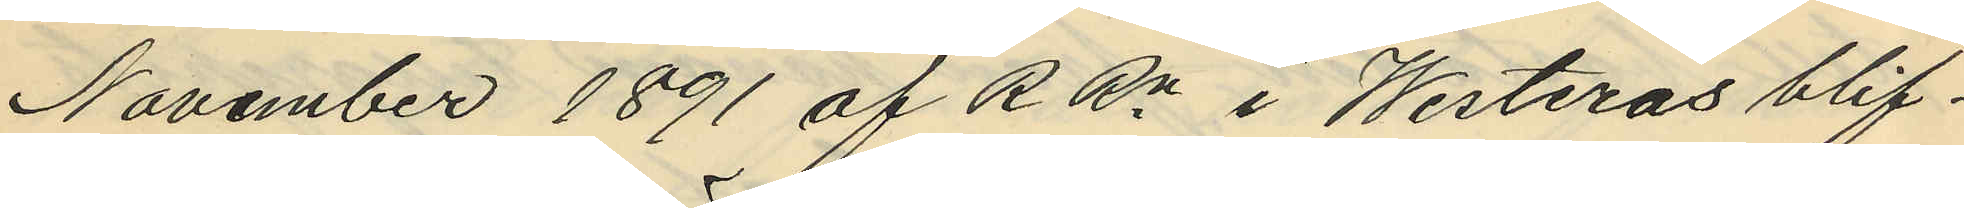November 1891 af RRn i Westerås blif¬
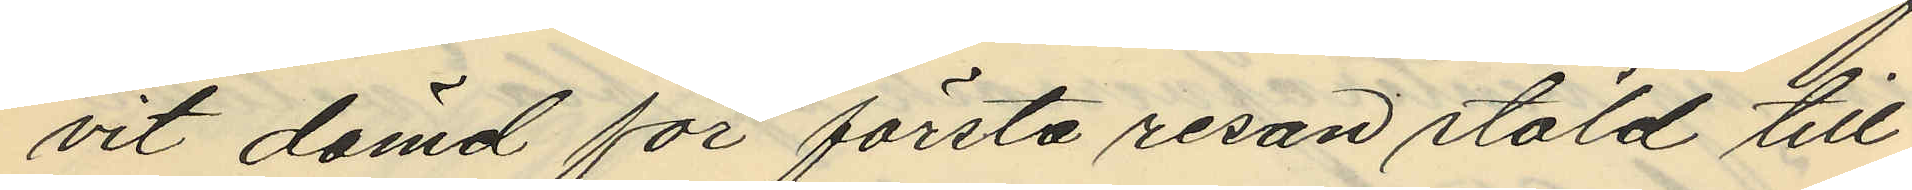vit dömd för första resan stöld till
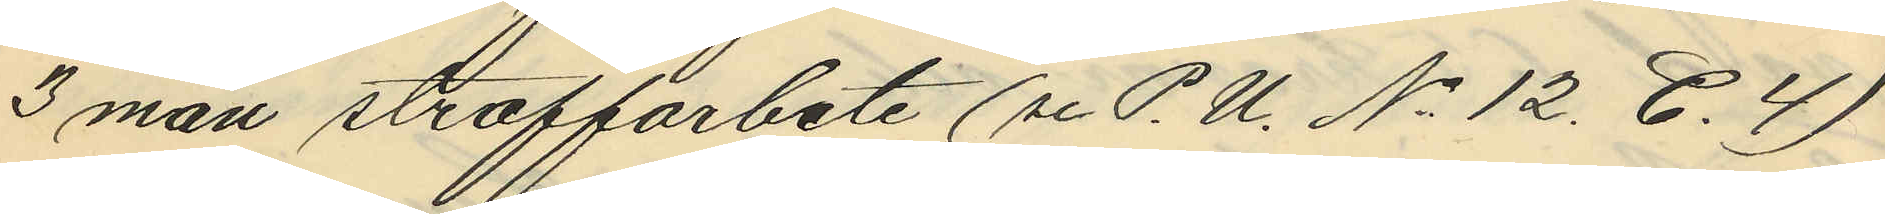3 mån straffarbete (se P. U. No 12. C.4)
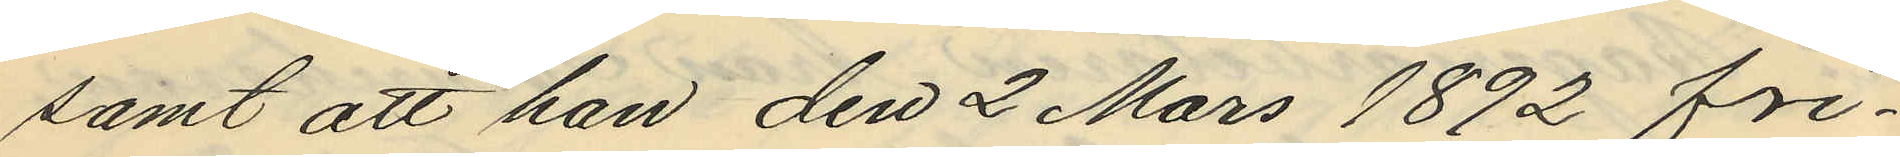samt att han den 2 Mars 1892 fri¬
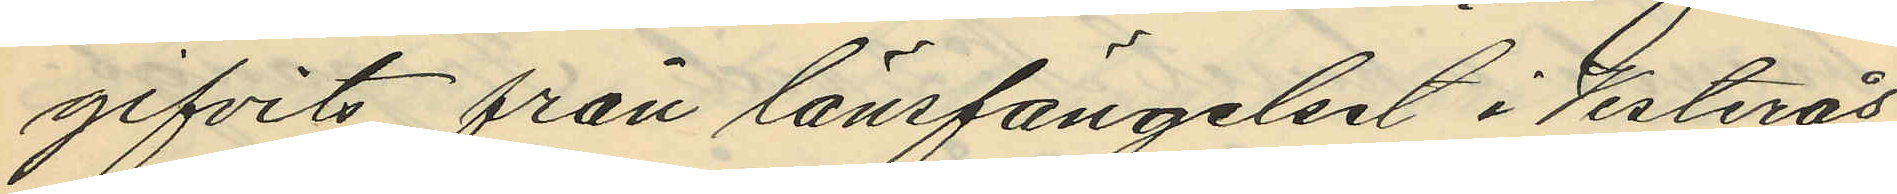gifvits från länsfängelset i Vesterås
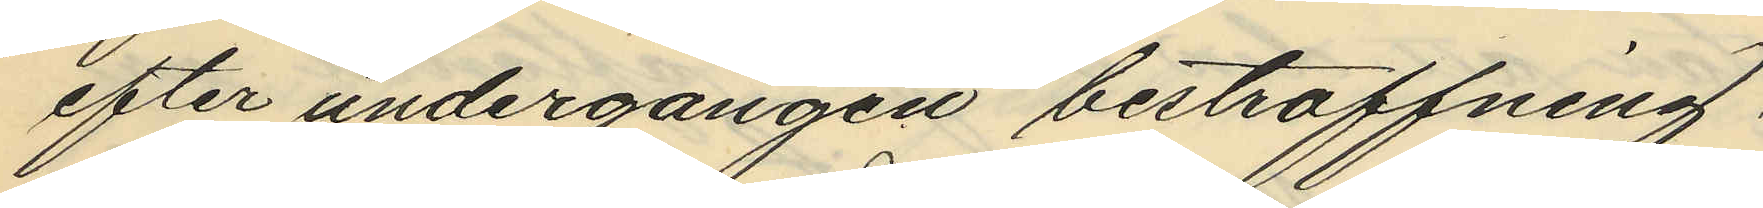efter undergången bestraffning.
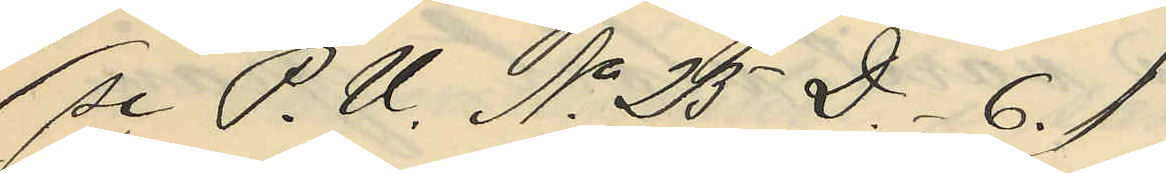(se P. U. No 25 D. 6.)
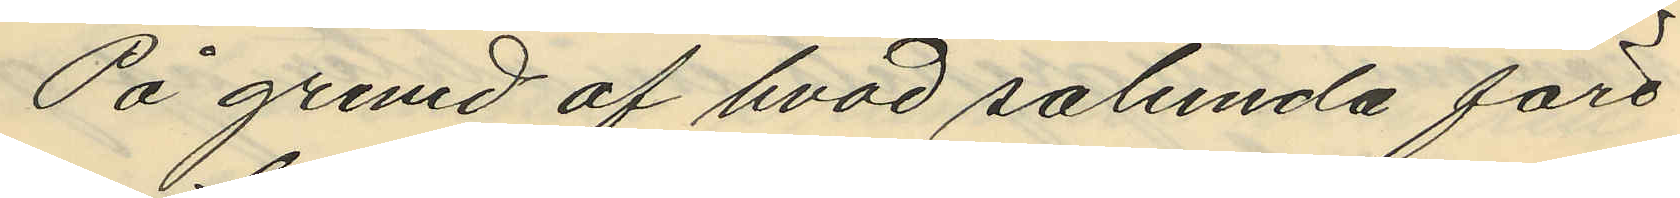På grund af hvad sålunda före¬
